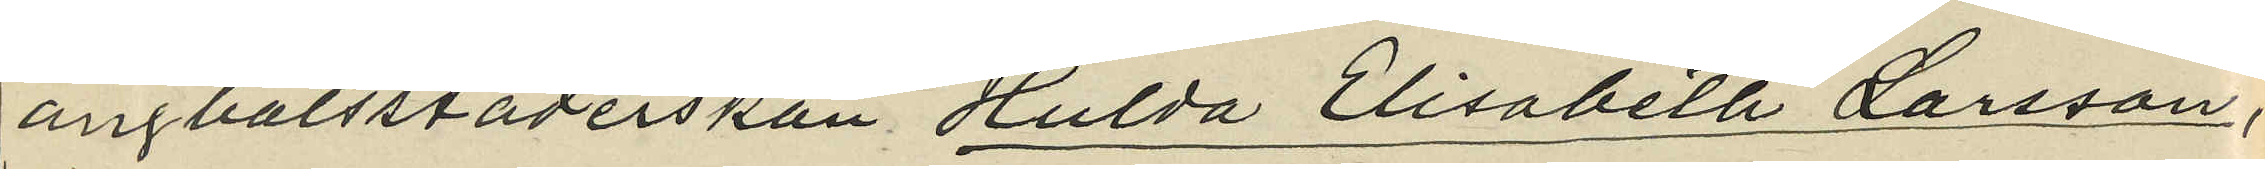ångbåtsstäderskan Hulda Elisabeta Larsson,
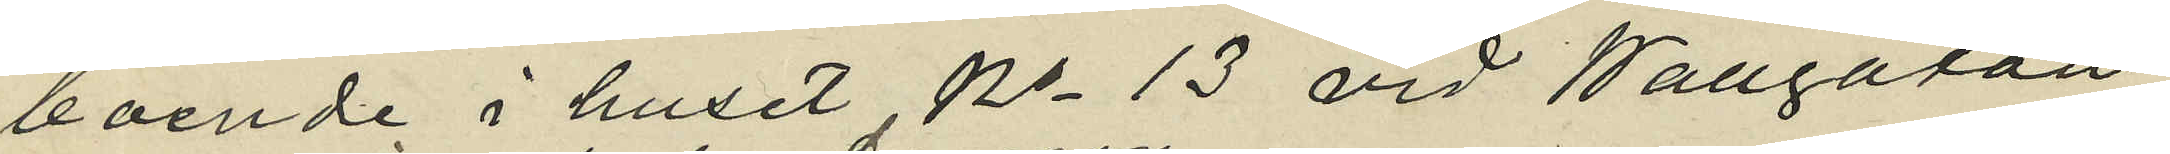boende i huset No 13 vid Wallgatan
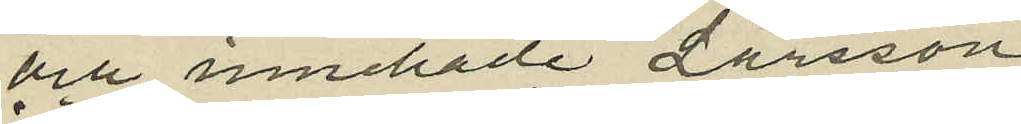och innehade Larsson
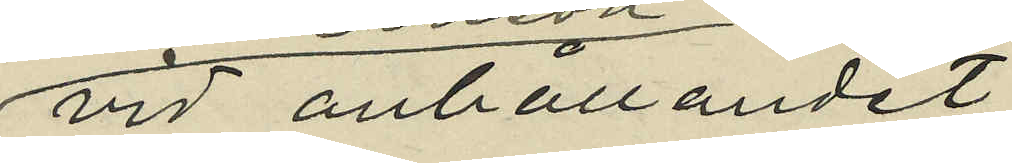vid anhållandet
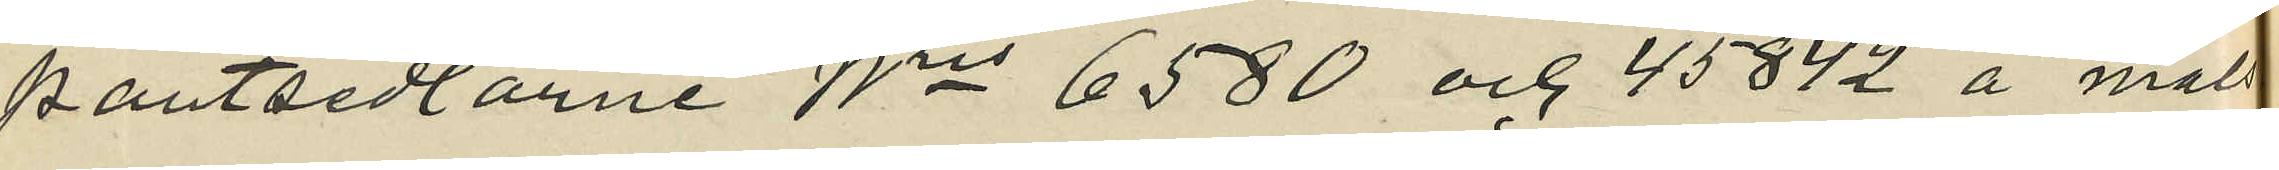pantsedlarne No 6580 och 45842 å måls¬
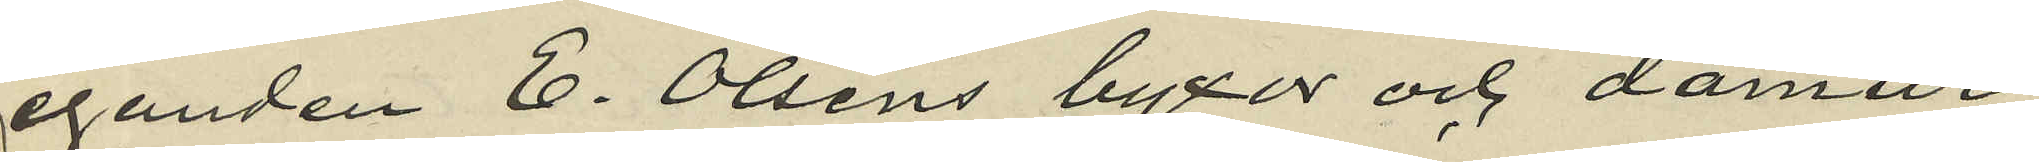eganden E. Olsens byxor och damur,
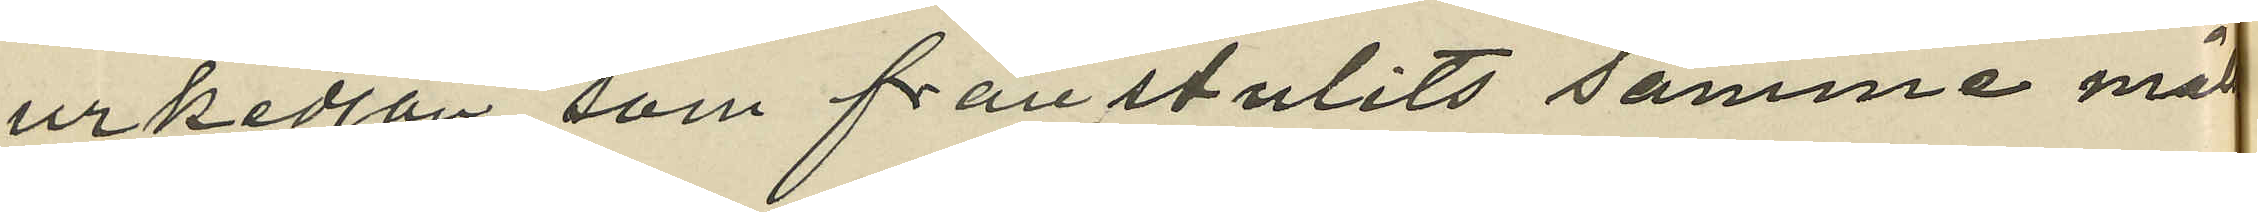urkedjan som frånstulits samme måls¬
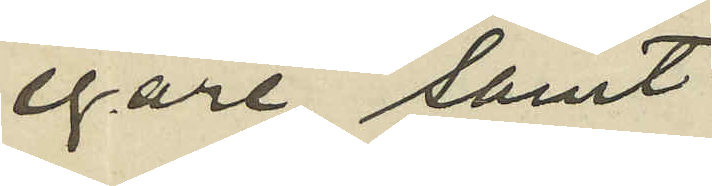egare, samt
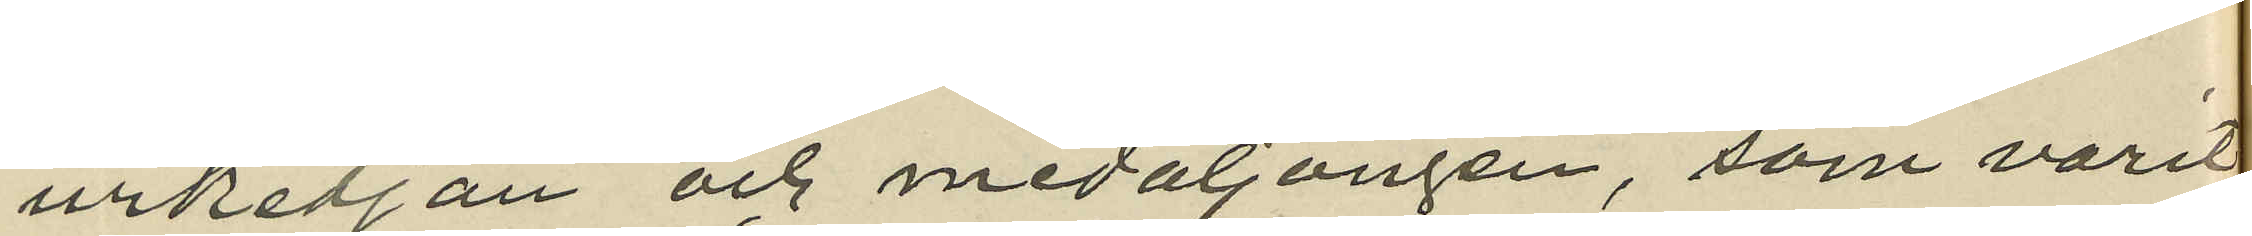urkedjan och medaljongen, som varit
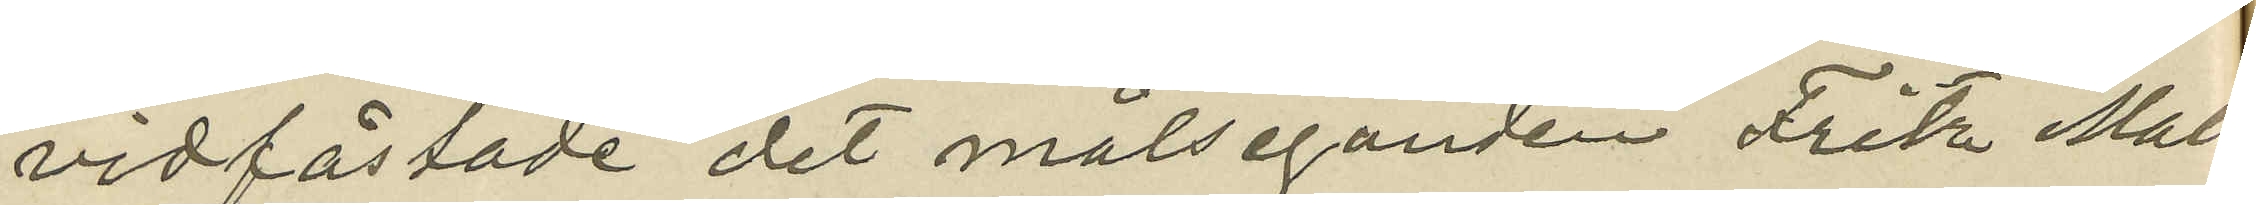vidfästade det målseganden Fritz Mald¬
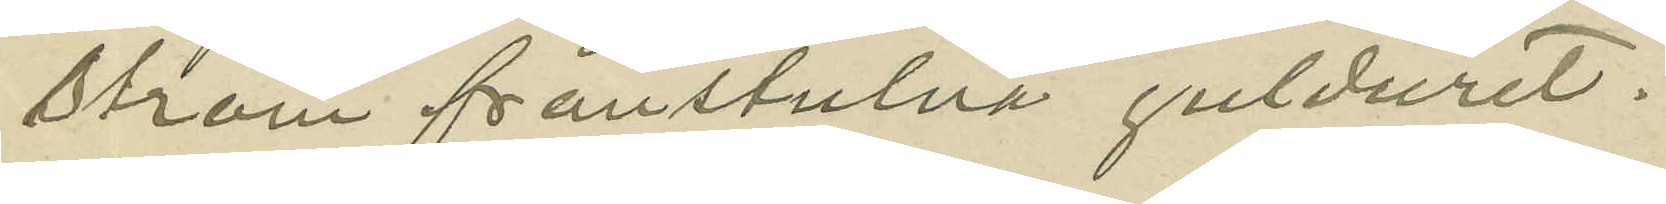ström fånstulna gulduret.
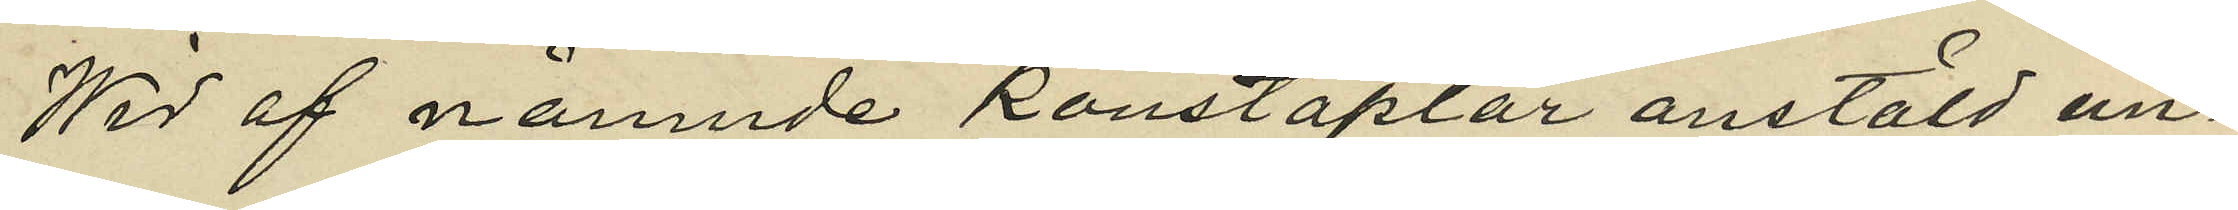Wid af nämnde konstaplar anstäld un¬
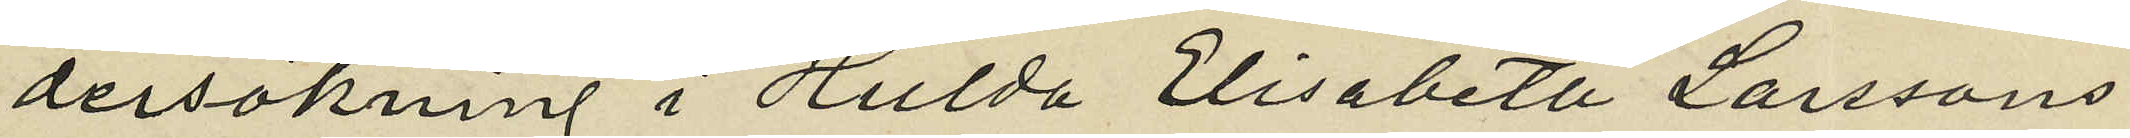dersökning i Hulda Elisabeta Larssons
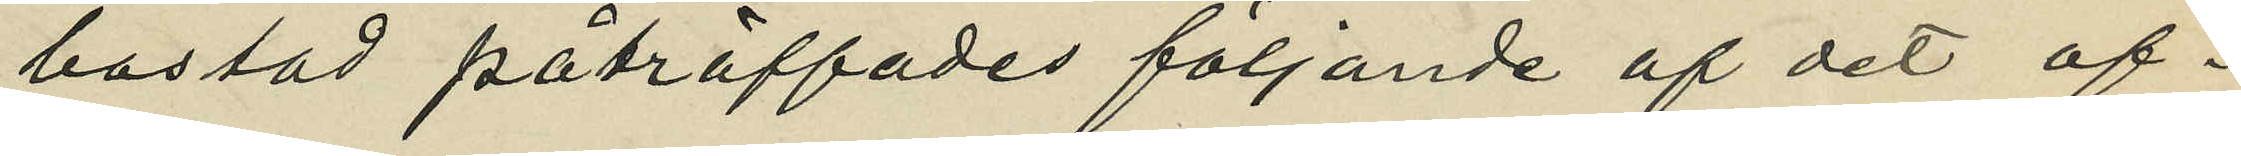bostad påträffades följande af det of¬
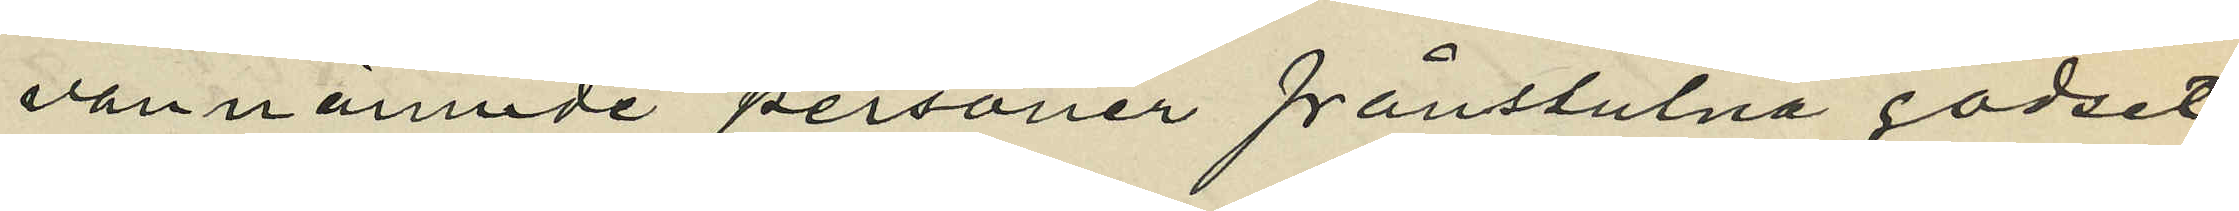vannämnde personer frånstulna godset
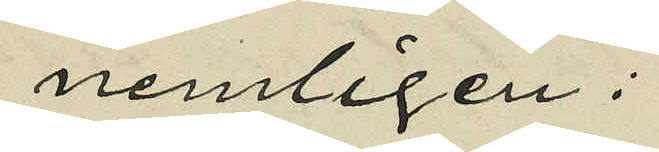nemligen:
